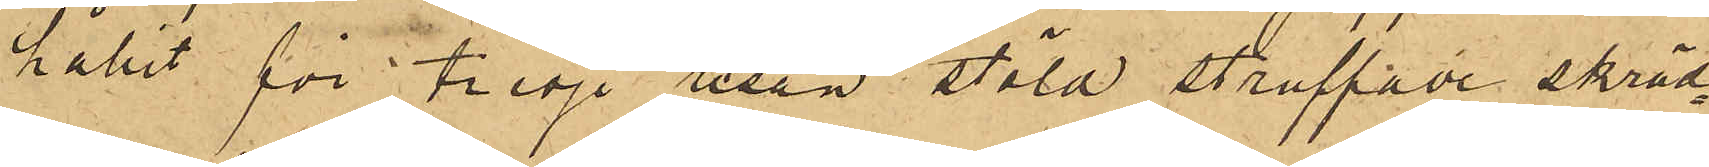hållit för tredje resan stöld straffade skräd¬
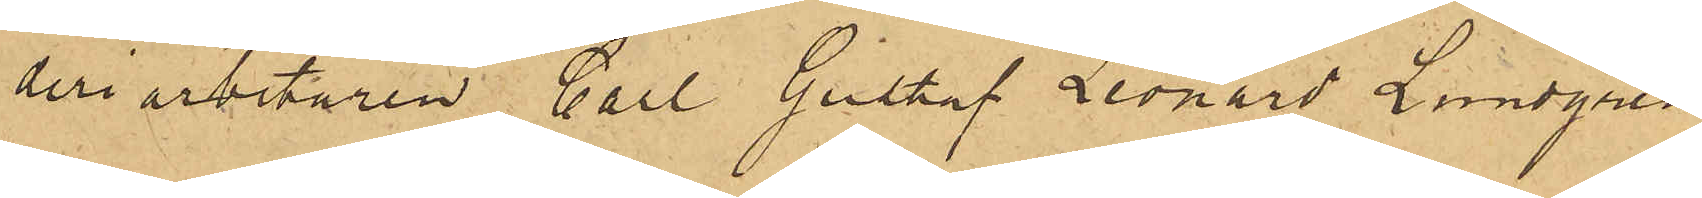deriarbetaren Carl Gustaf Leonard Lundgren,
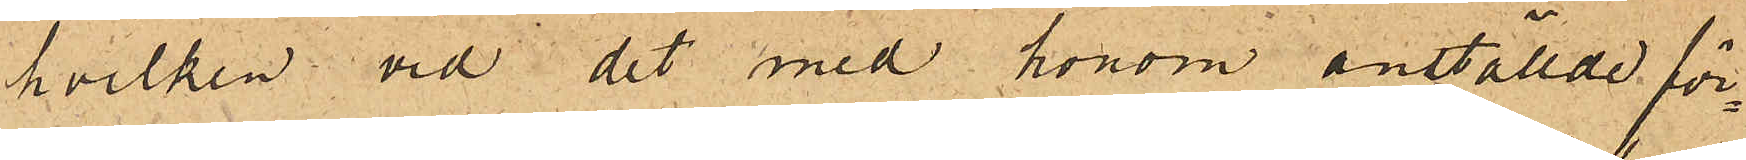hvilken vid det med honom anställde för¬
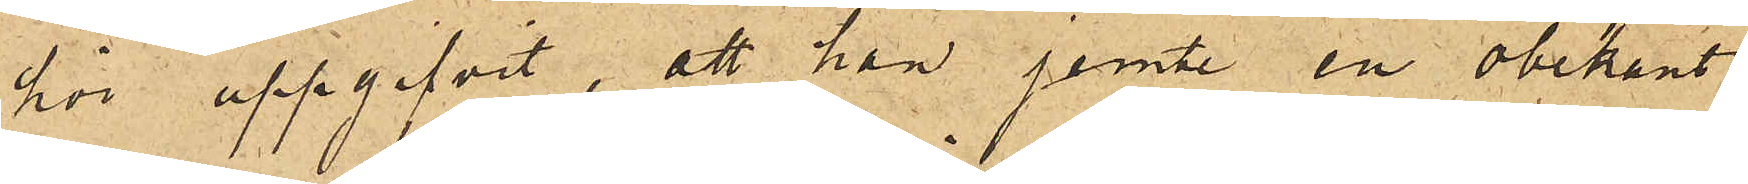hör uppgifvit, att han jemte en obekant
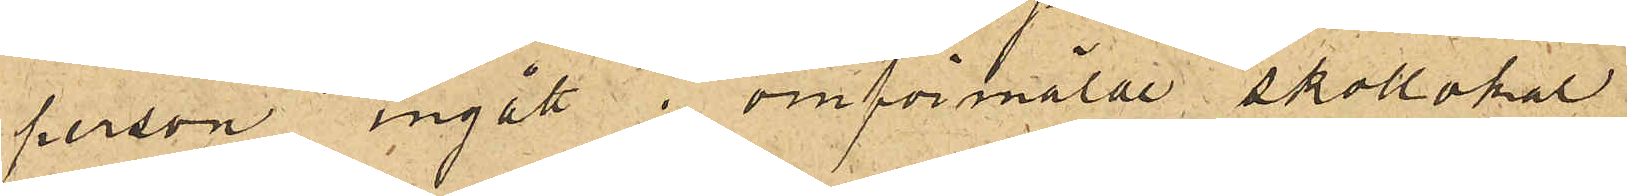person ingått i omförmälde skollokal
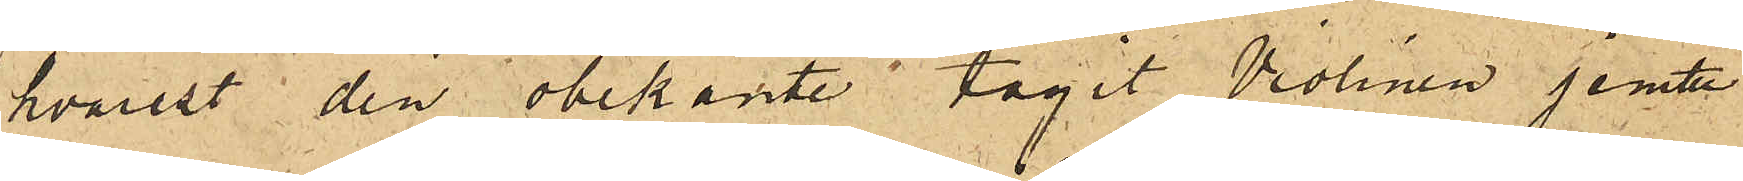hvarest den obekante tagit Violinen jemte
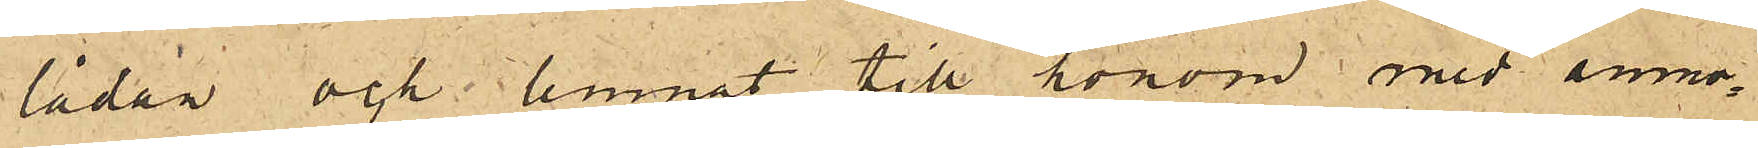lådan och lemnat till honom med anmo¬
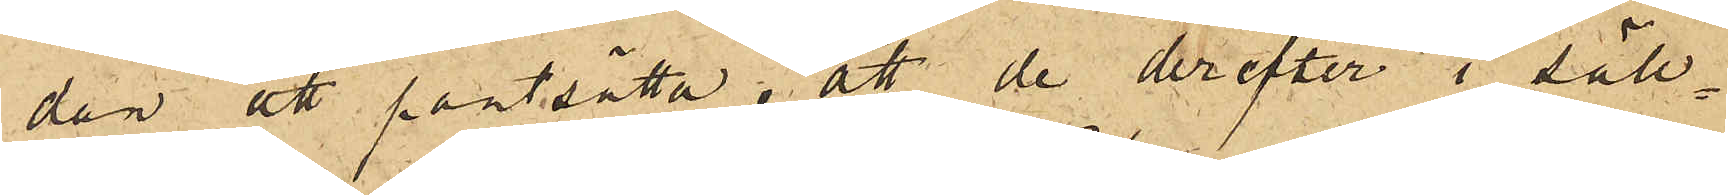dan att pantsätta, att de derefter i säll¬
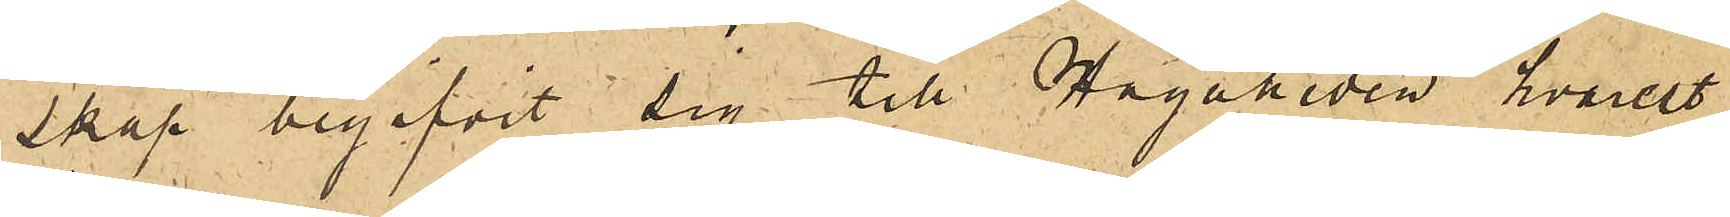skap begifvit sig till Hagaheden hvarest
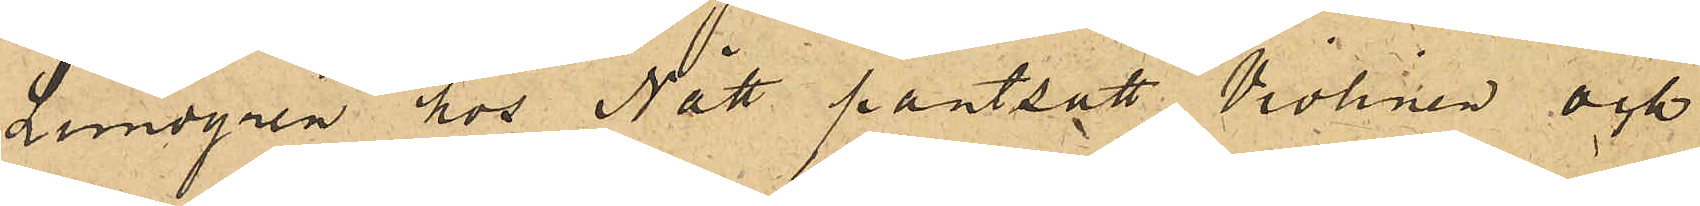Lundgren hos Nätt pantsatt  Violinen och
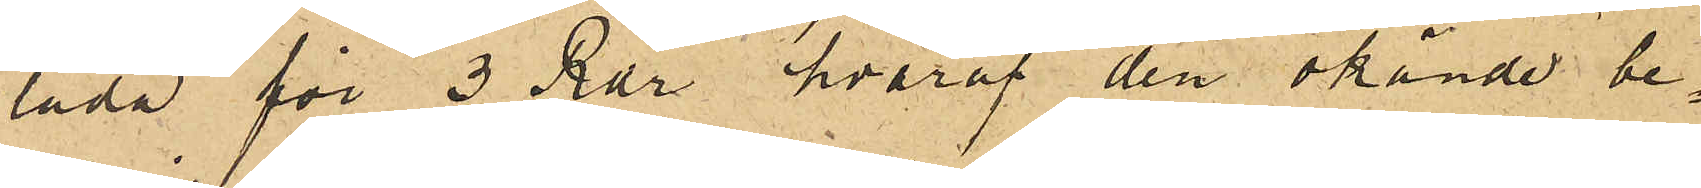låda för 3 Rdr hvaraf den okände be¬
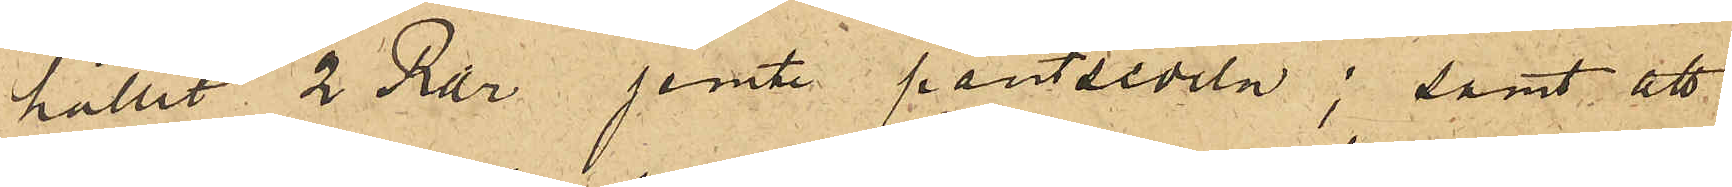hållit 2 Rdr jemte pantsedeln; samt att
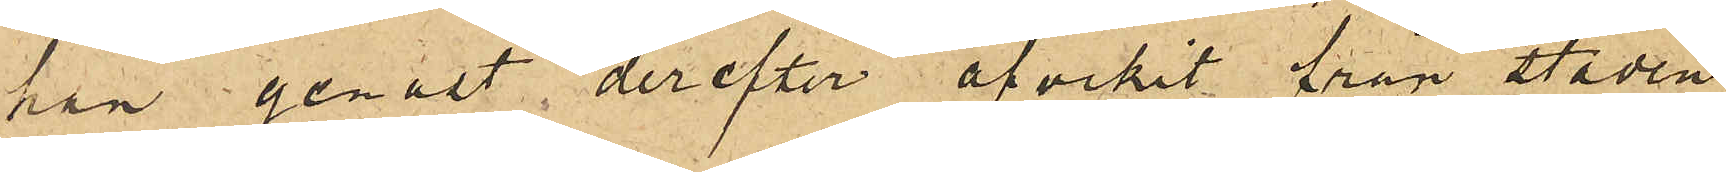han genast derefter afvikit från staden,
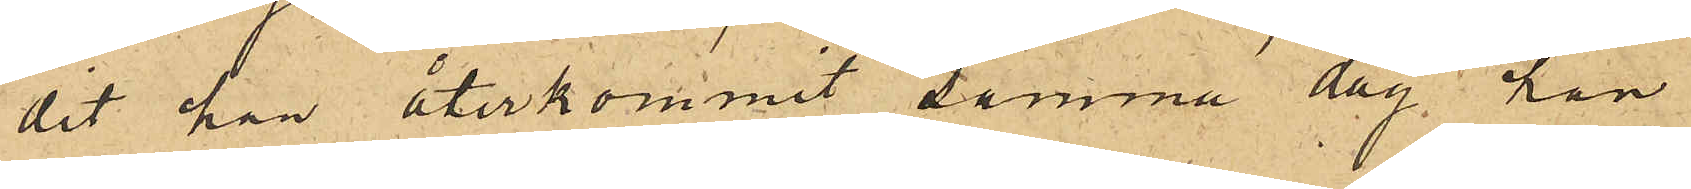dit han återkommit samma dag han
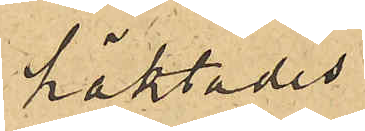häktades.
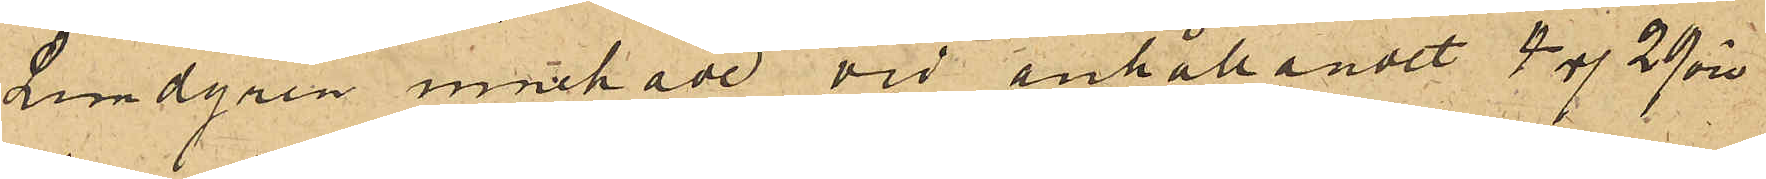Lundgren innehade vid anhållandet 4 Rdr 29 öre
